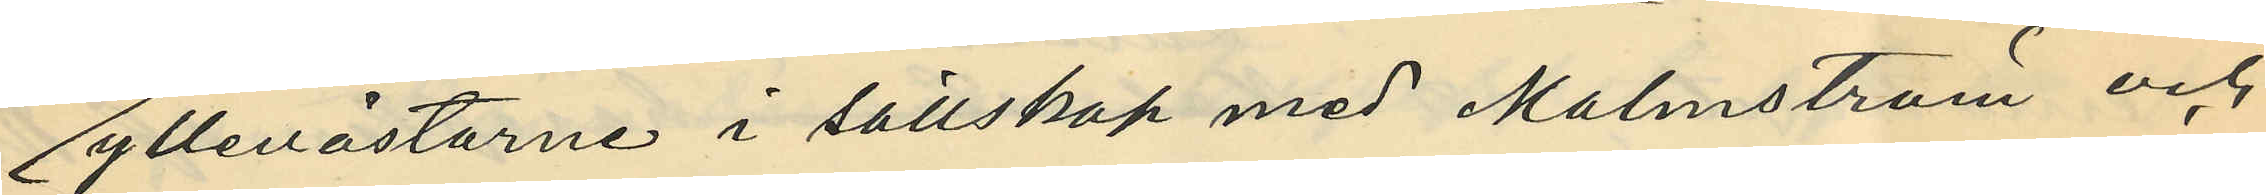yllevästarne i sällskap med Malmström och
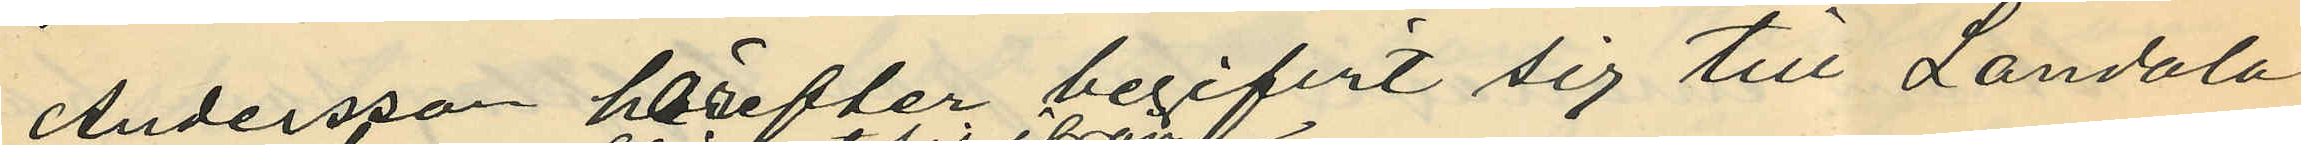Andersson härefter begifvit sig till Landala
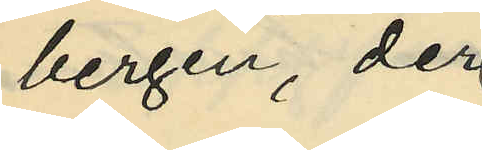bergen, der
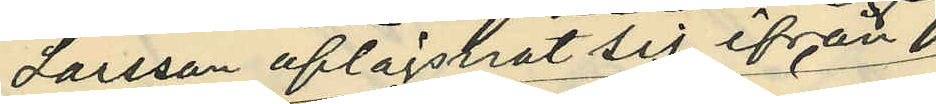Larsson aflägstnat sig ifrån 
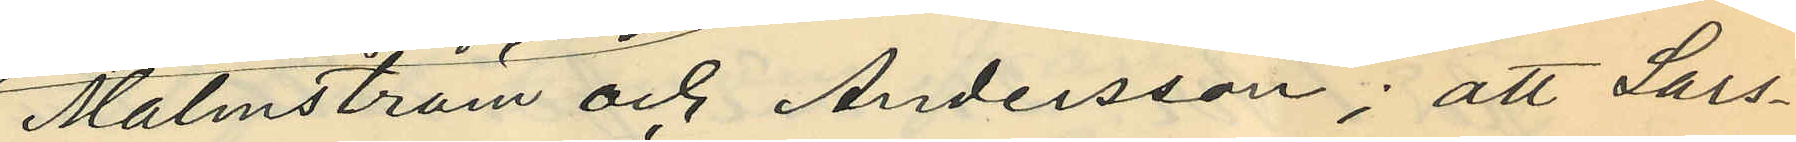Malmström och Andersson; att Lars¬
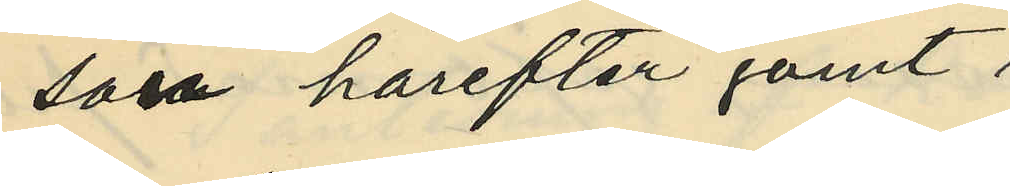son härefter gömt
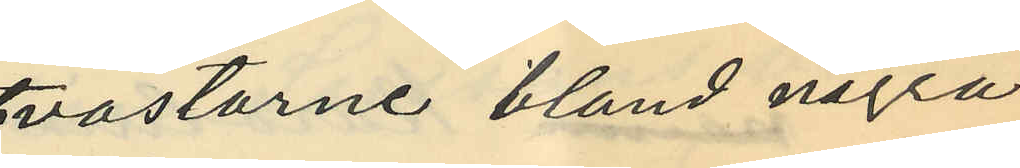västarne bland några
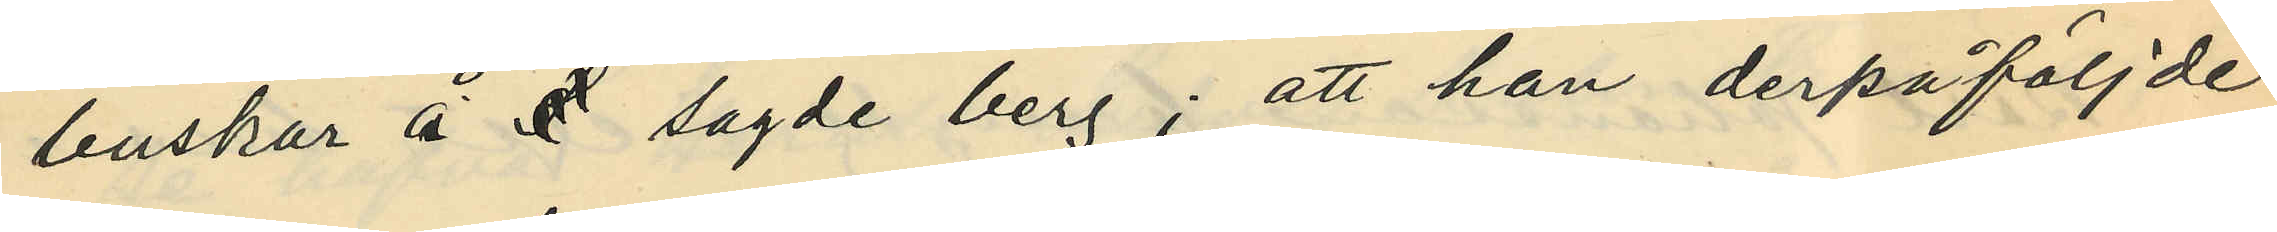buskar å  sagde berg; att han derpåföljde
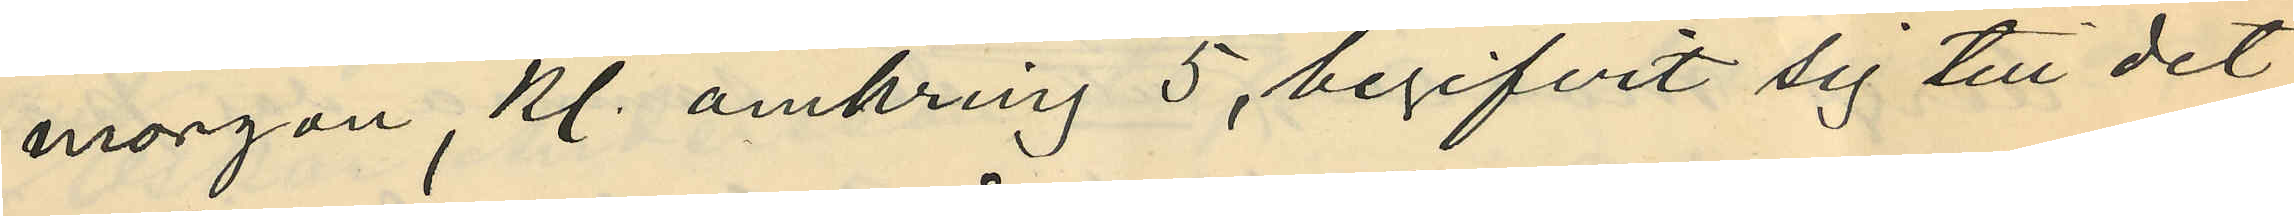morgon, kl. omkring 5, begifvit sig till det
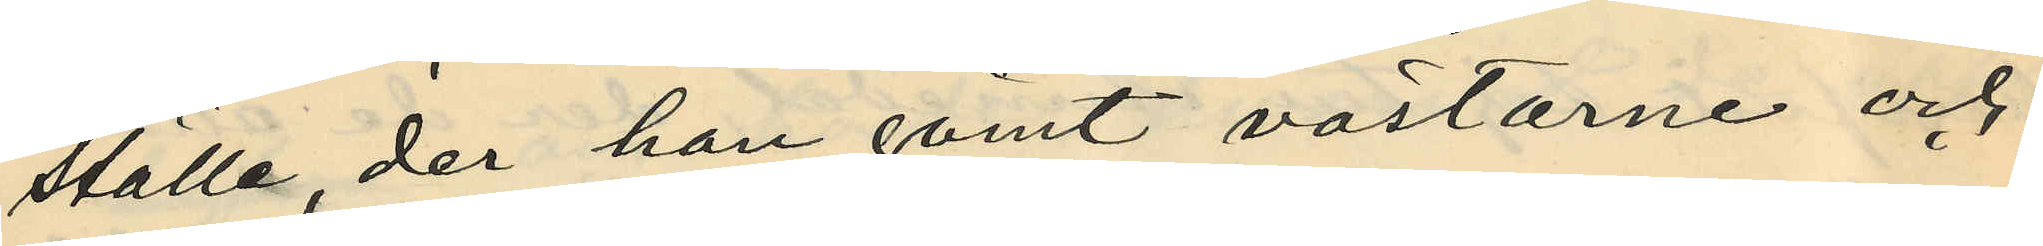ställe, der han gömt västarne och
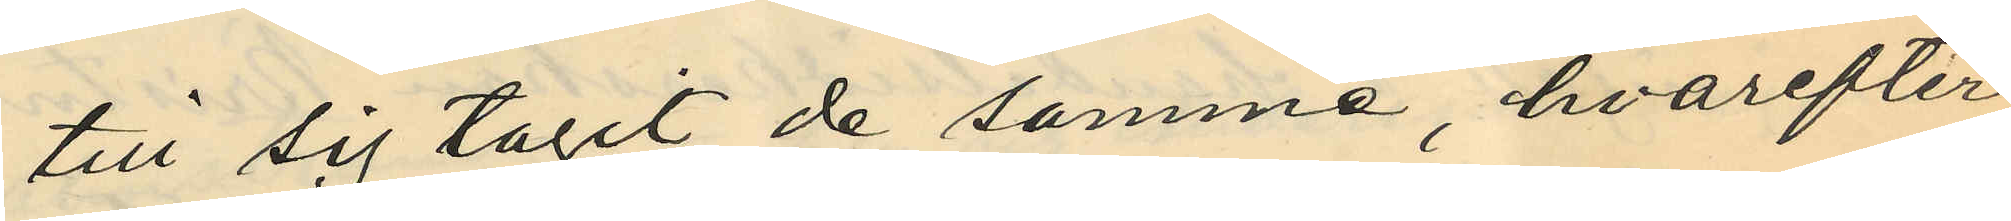till sig tagit de samma, hvarefter
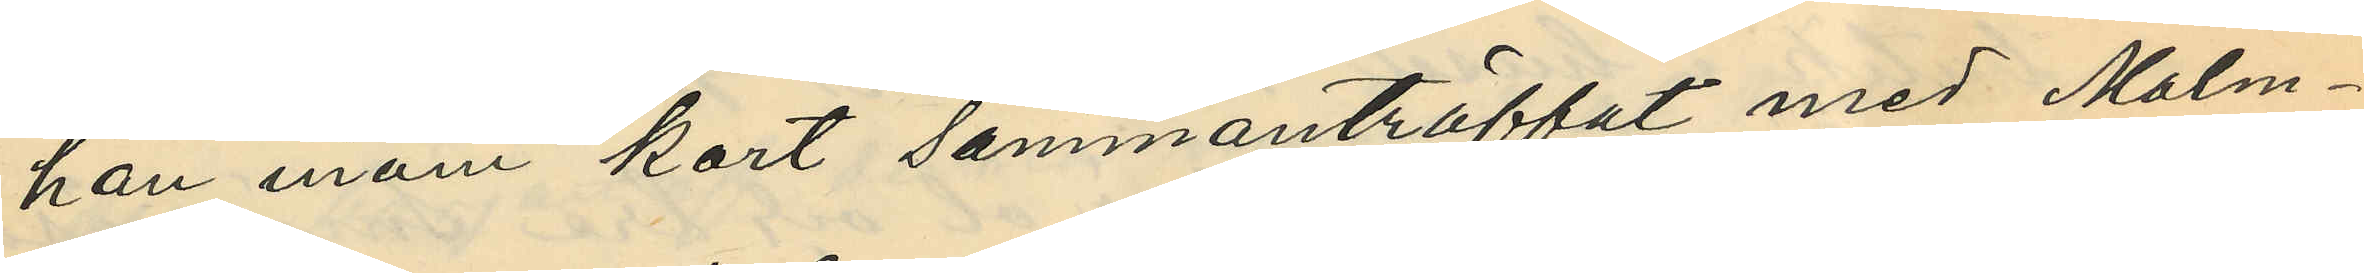han inom kort sammanträffat med Malm¬
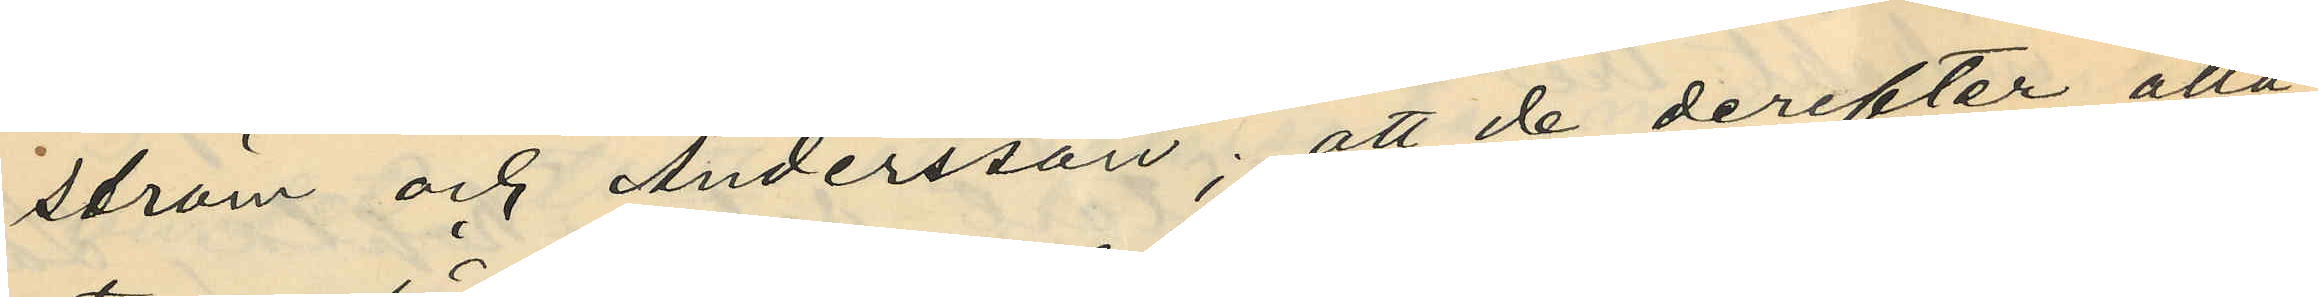ström och Andersson; att de derefter alla
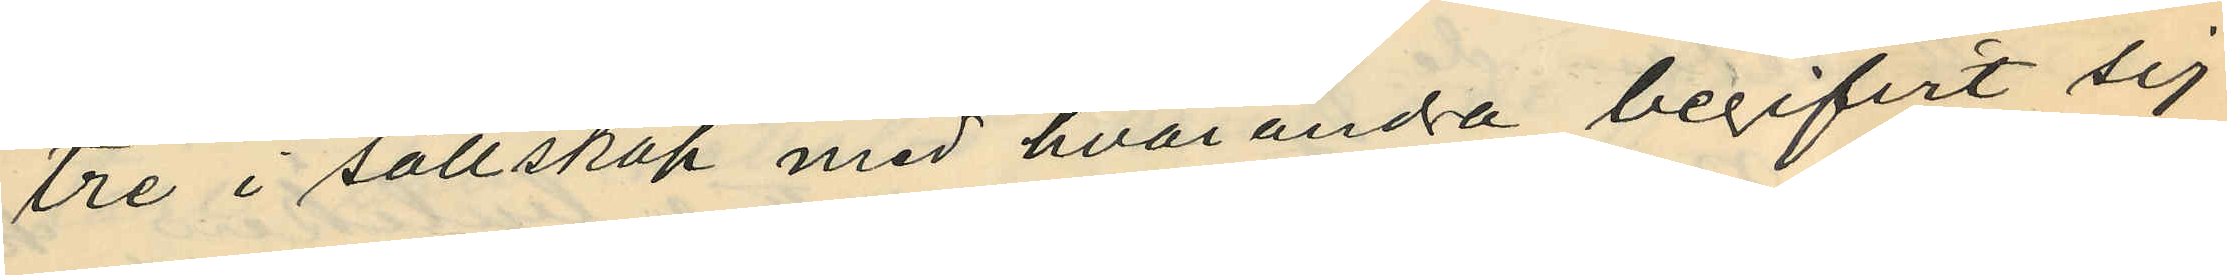tre i sällskap med hvarandra begifvit sig
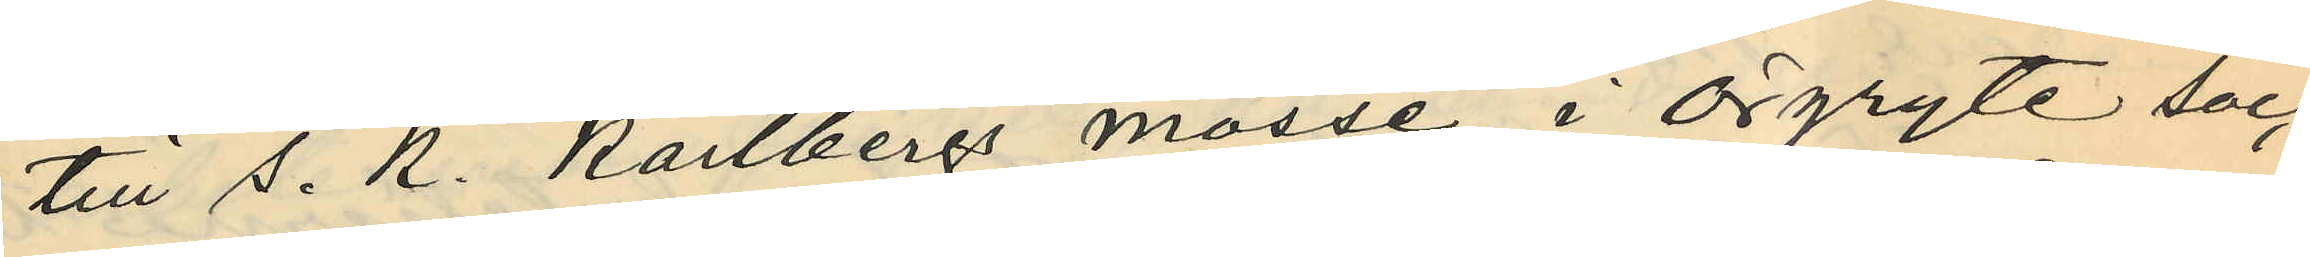till s. k. Karlbergs mosse i Örgryte soc¬
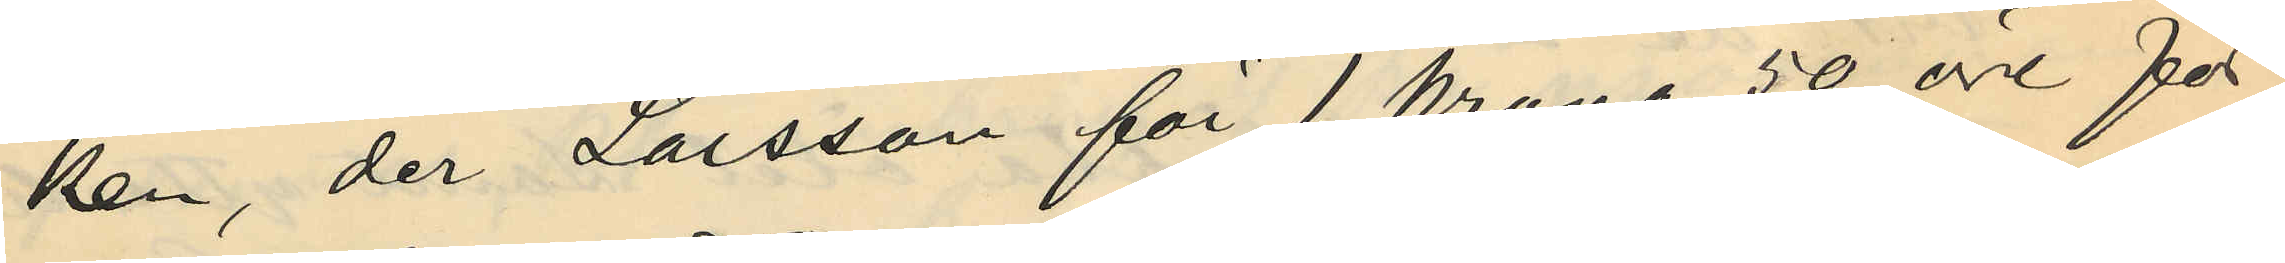ken, der Larsson för 1 krona 50 öre för¬
